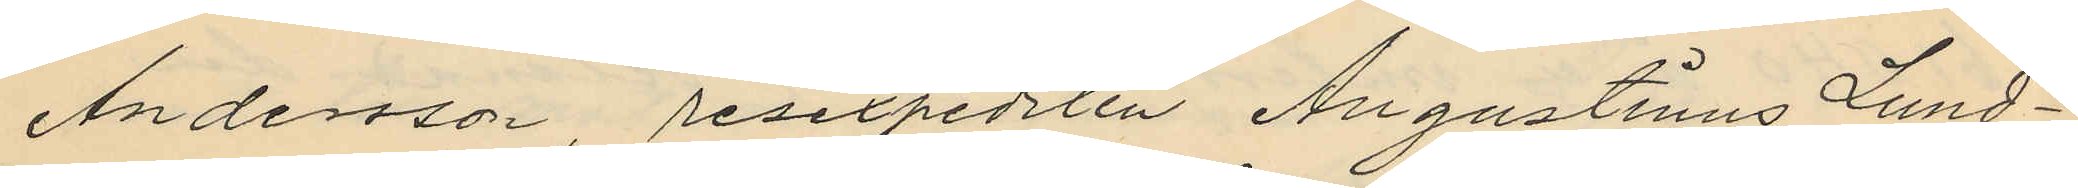Andersson resexpediten Augustinus Lund¬
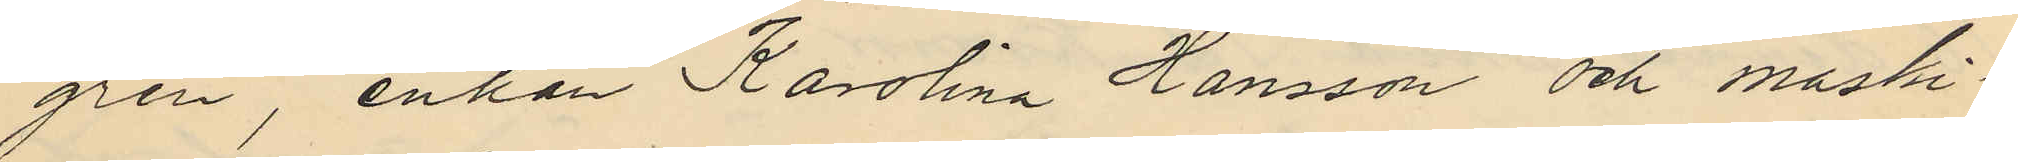gren, enkan Karolina Hansson och maski¬
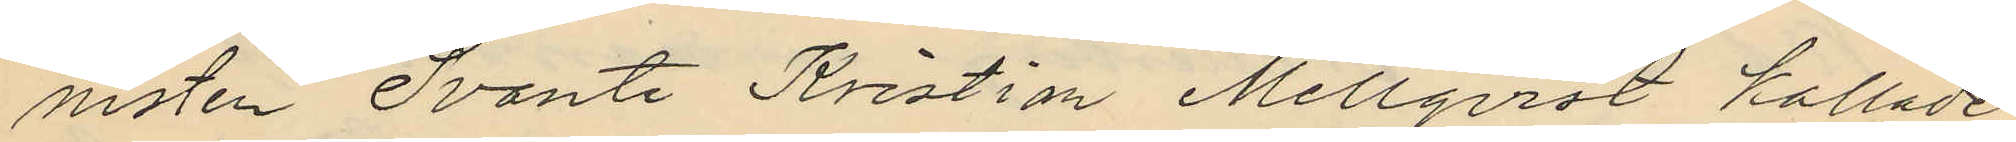nisten Svante Kristian Mellqvist kallade
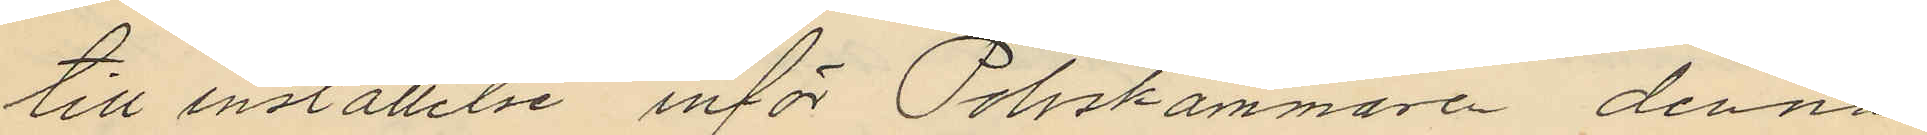till inställelse inför Poliskammaren denna
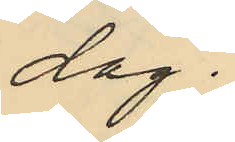dag.
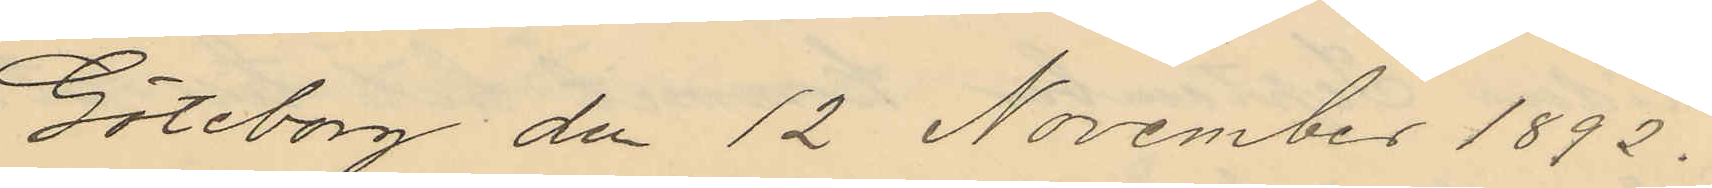Göteborg dn 12 November 1892.
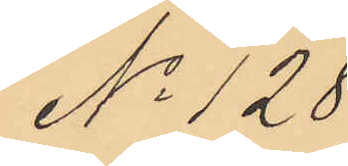No 128
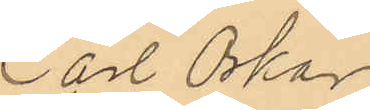Carl Oskar
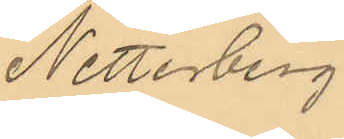Netterberg.
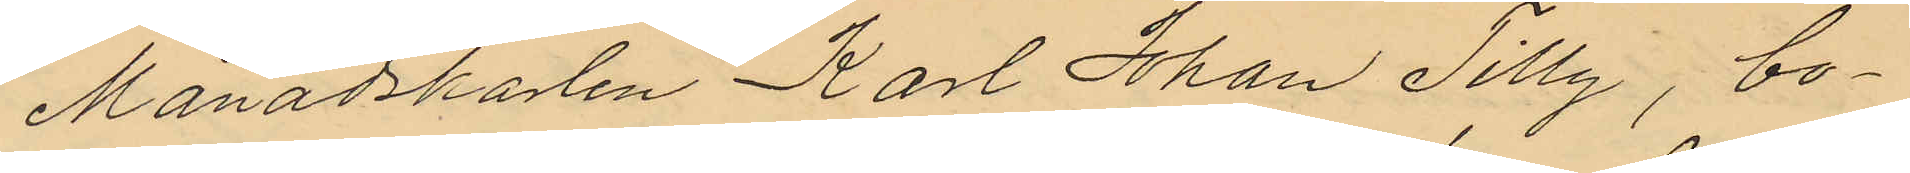Månadskarlen Karl Johan Tilly, bo¬
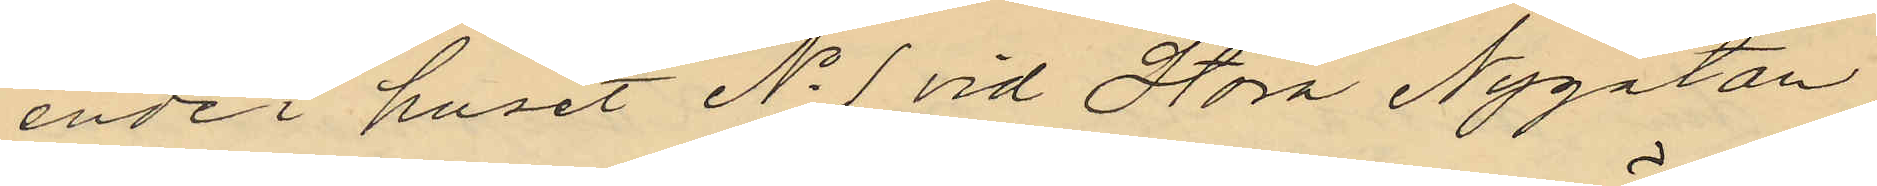ende i huset No 1 vid Stora Nygatan
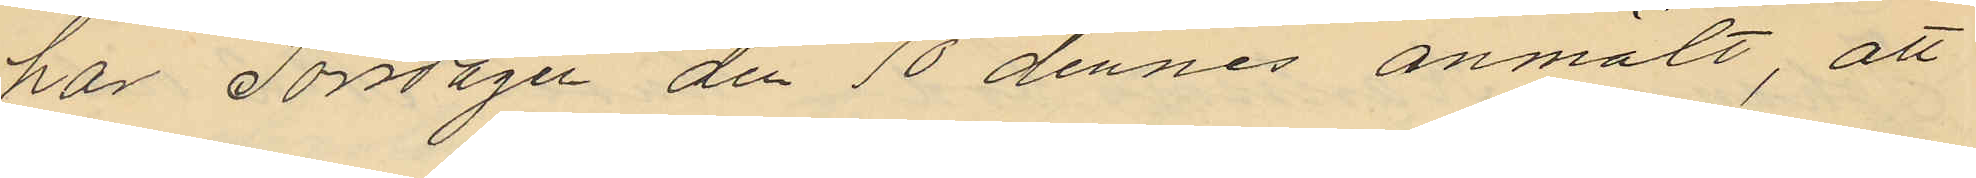har Torsdagen de 10 dennes anmält, att
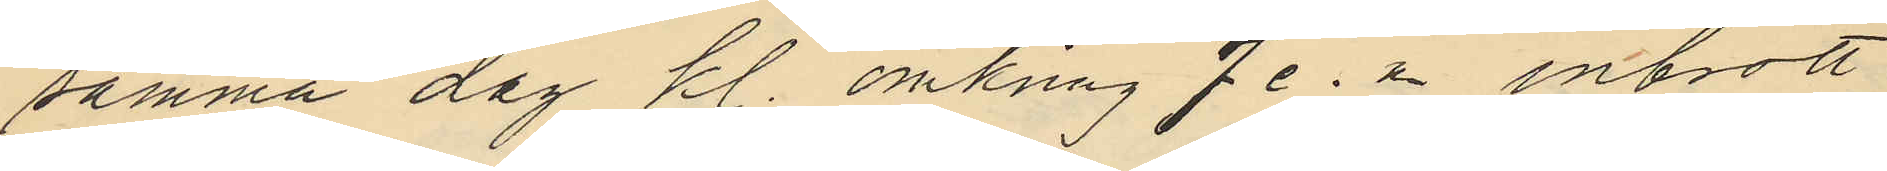samma dag kl. omkring 7 e. m. inbrott
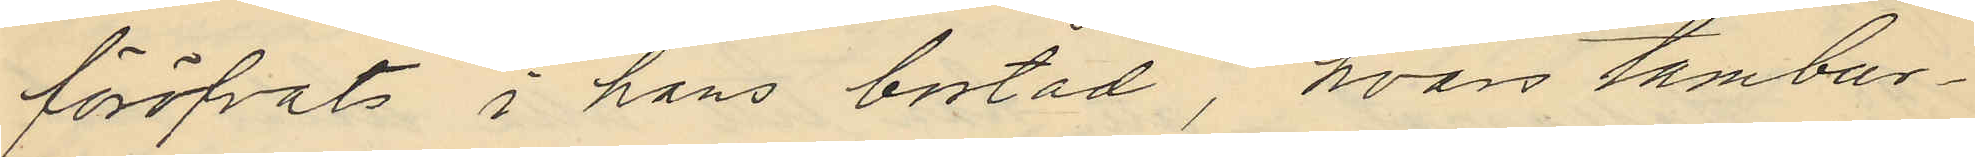föröfvats i hans bostad, hvars tambur¬
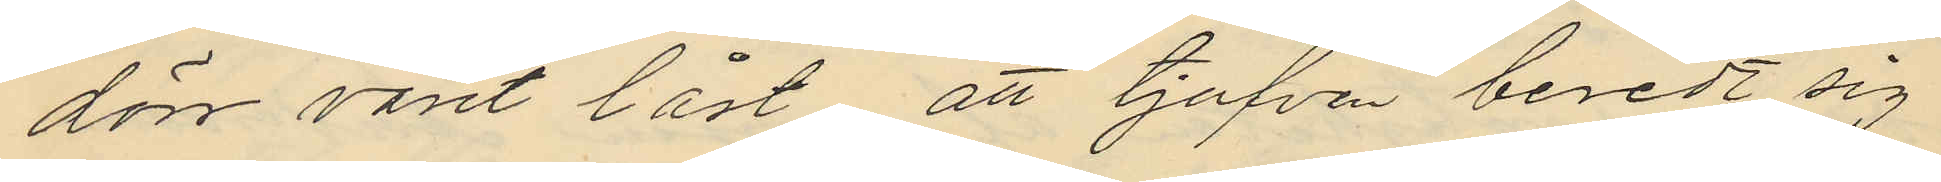dörr varit låst att tjufven beredt sig
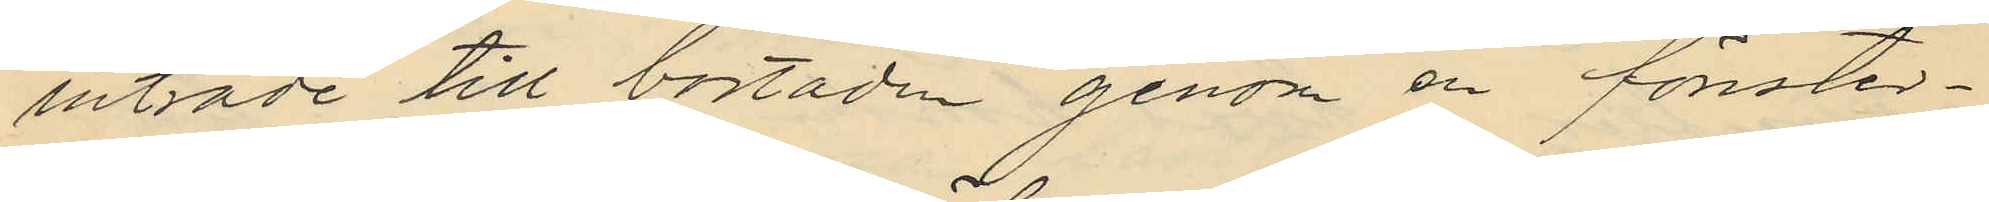inträde till bostaden genom en fönster¬
